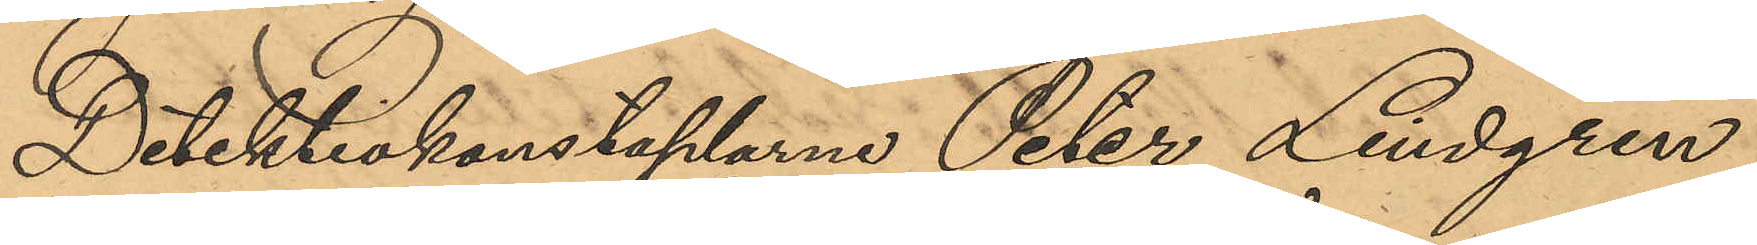Detektivkonstaplarne Peter Lindgren
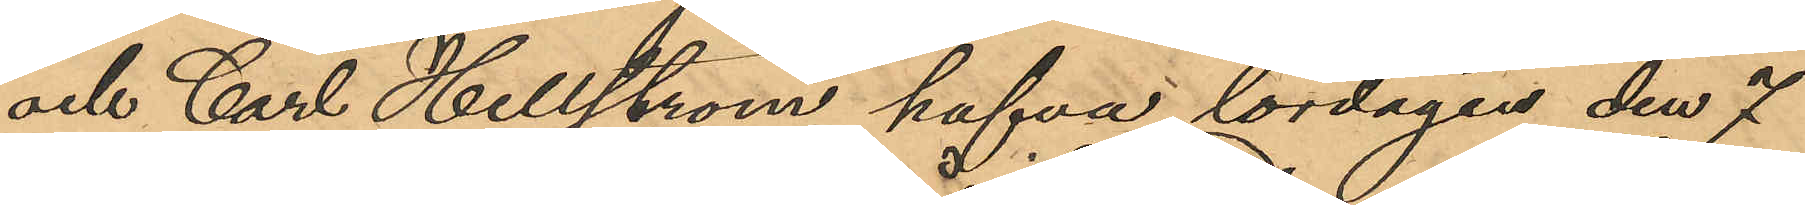och Carl Hellström hafva lördagen den 7
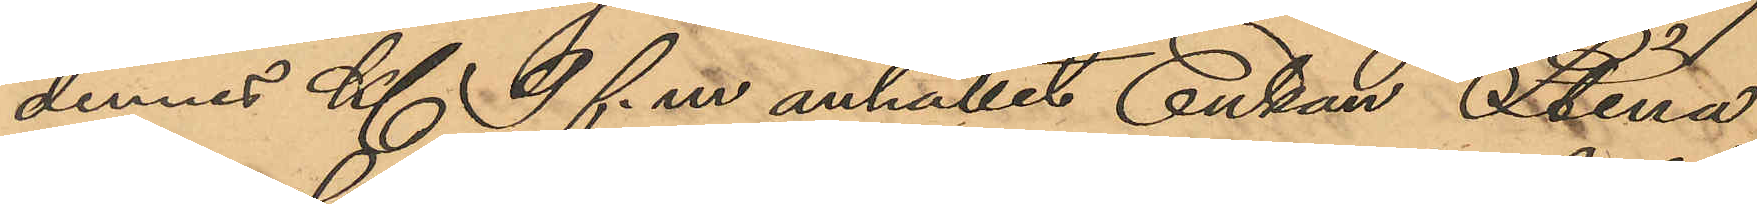dennes Kl 9 f. m anhållit Enkan Stina
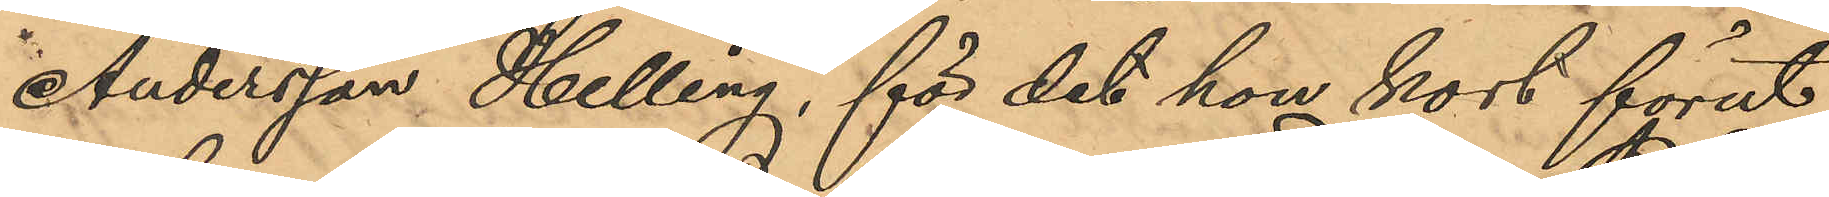Andersson Helling, för det hon kort förut
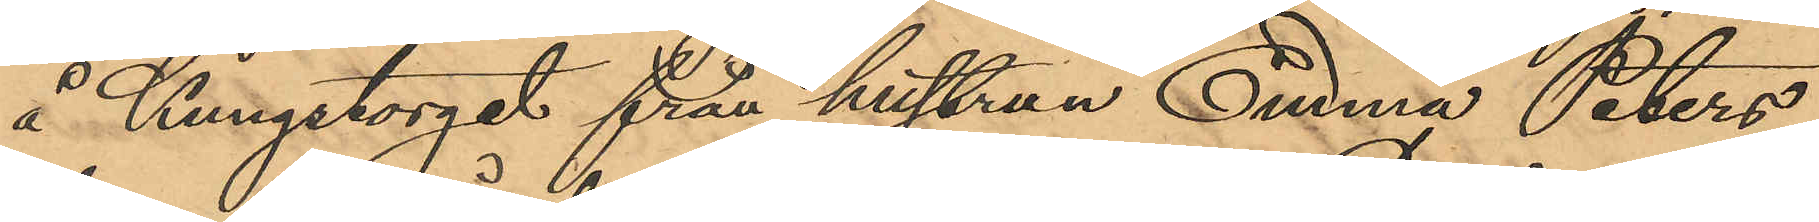å Kungstorget från hustrun Emma Peters¬
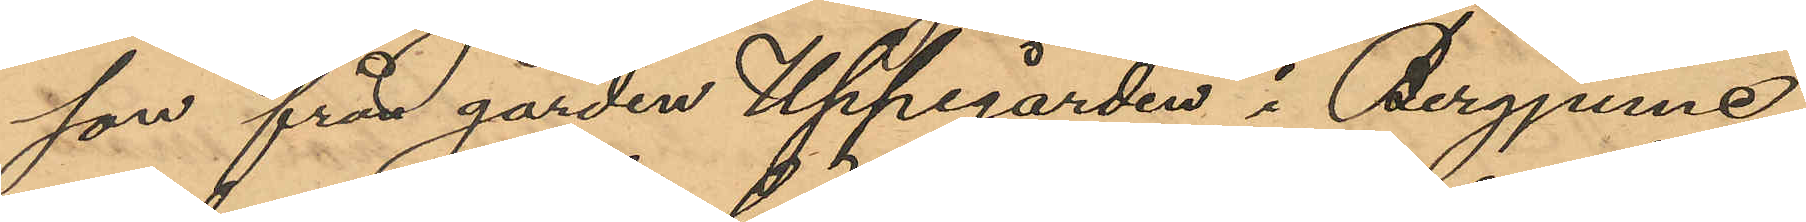son från gården Uppegården i Bergjume
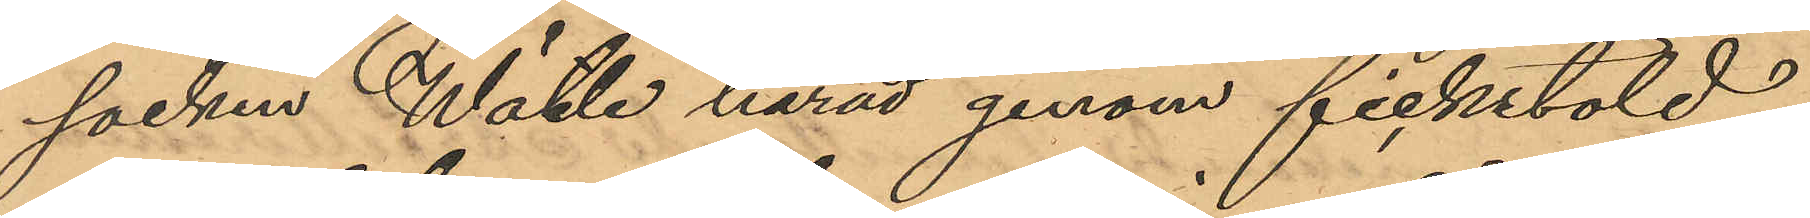socken Wätle härad genom fickstöld
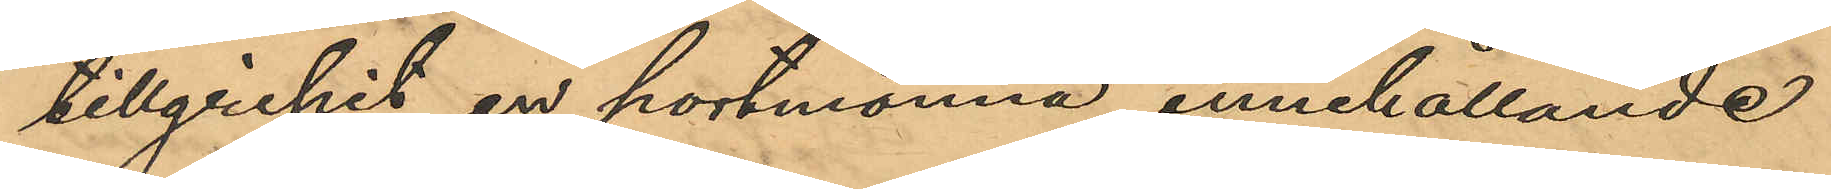tillgripit en portmonnä, innehållande
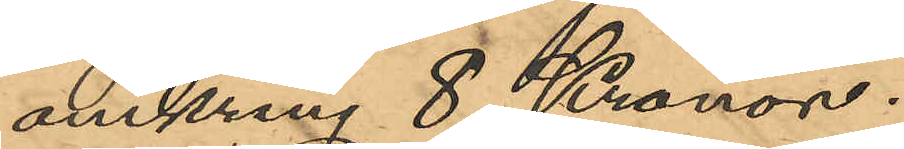omkring 8 Kronor.
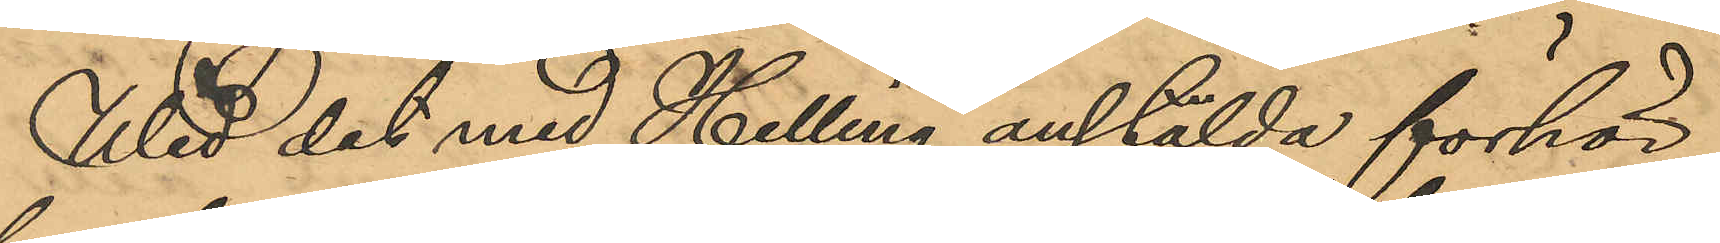Wid det med Helling anstälda förhör
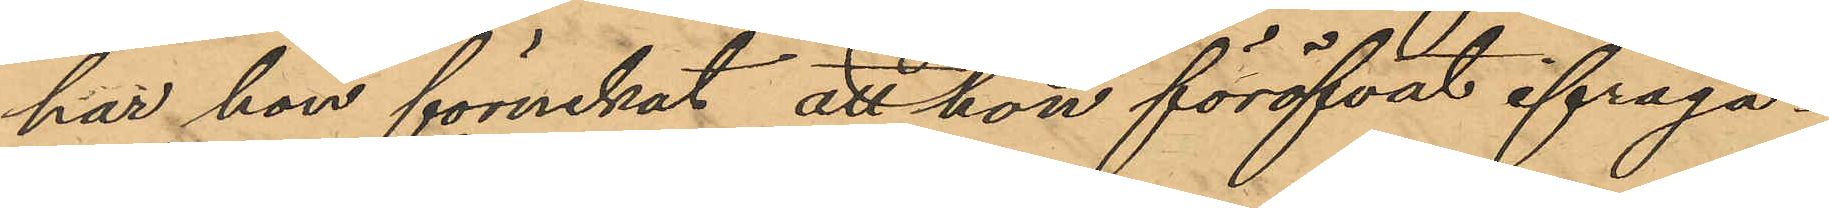har hon förnekat att hon föröfvat ifråga¬
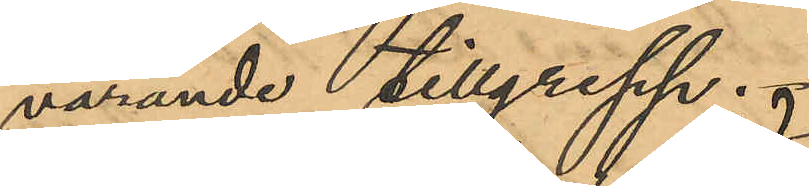varande tillgrepp.
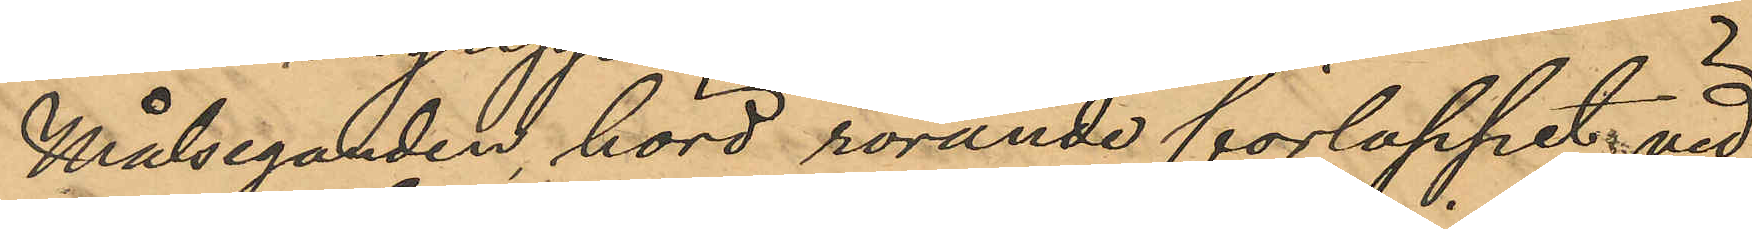Målseganden hörd rörande förloppet vid
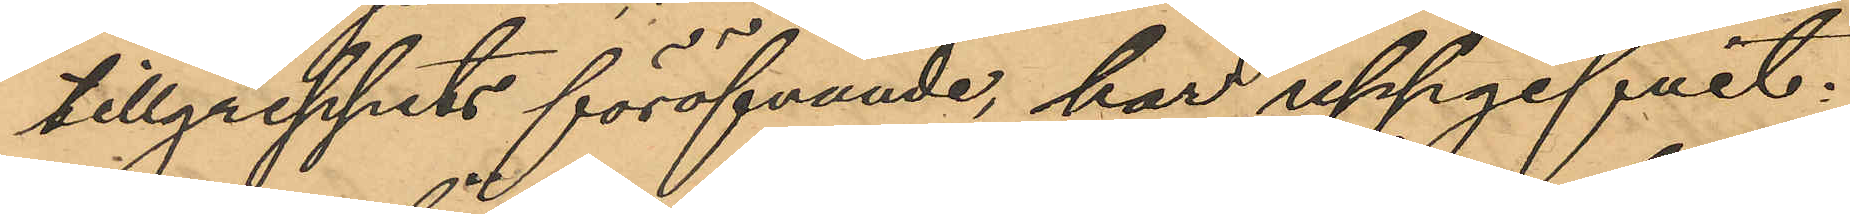tillgreppets föröfvande, har uppgifvit:
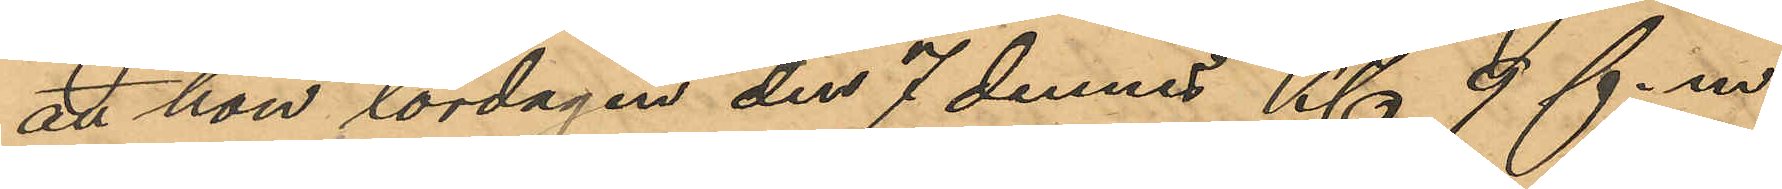att hon lördagen den 7 dennes Kl 9 f.m.
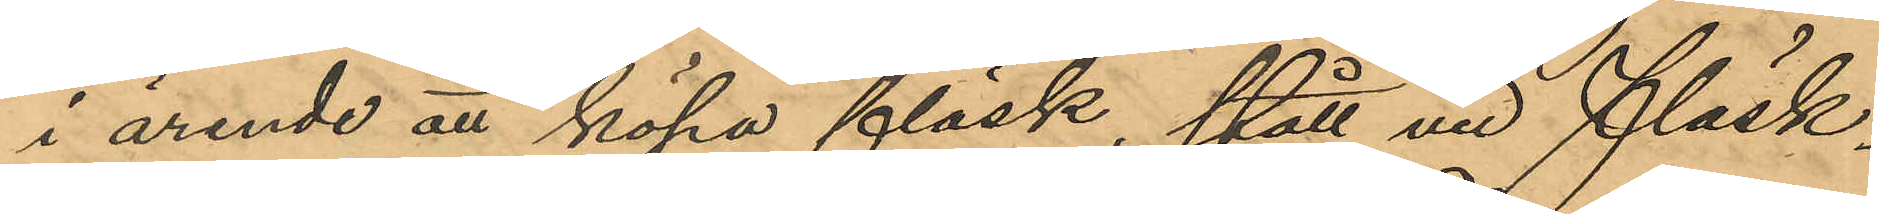i ärende att köpa fläsk, stått vid Fläsk¬
